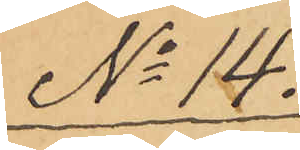No 14.
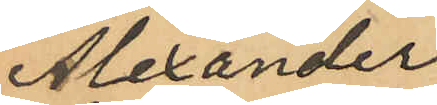Alexander
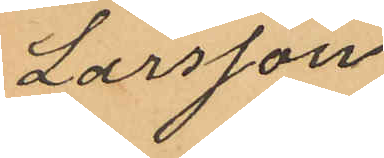Larsson
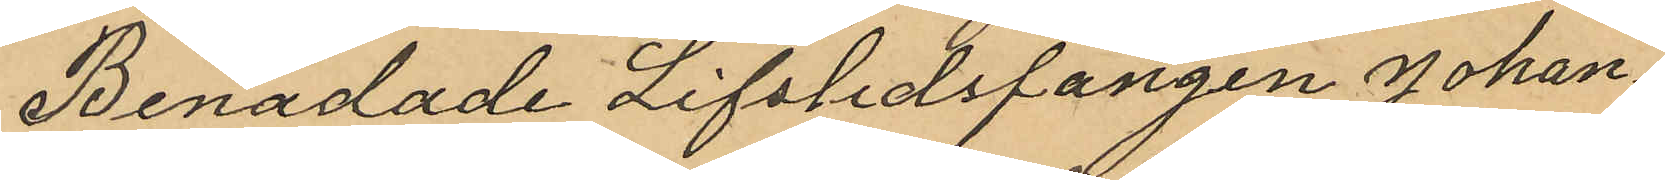Benådade Lifstidsfången Johan¬
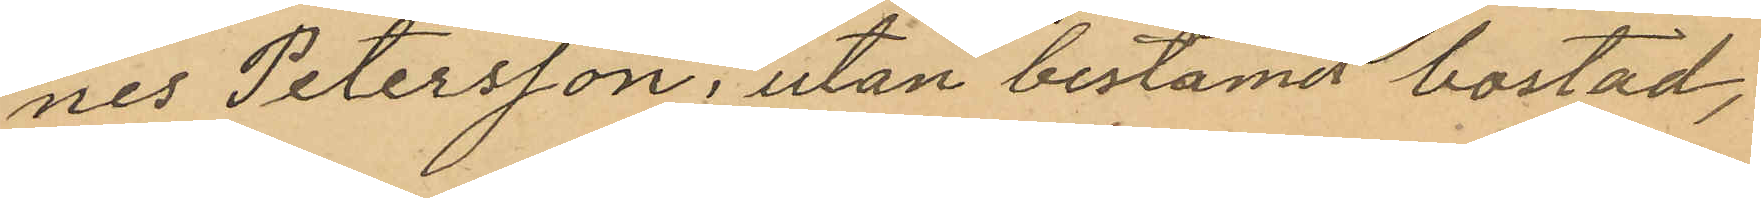nes Petersson, utan bestämd bostad,
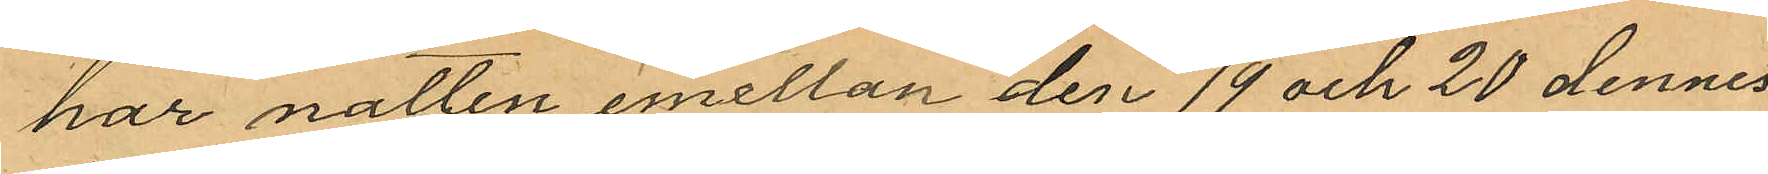har natten emellan den 19 och 20 dennes
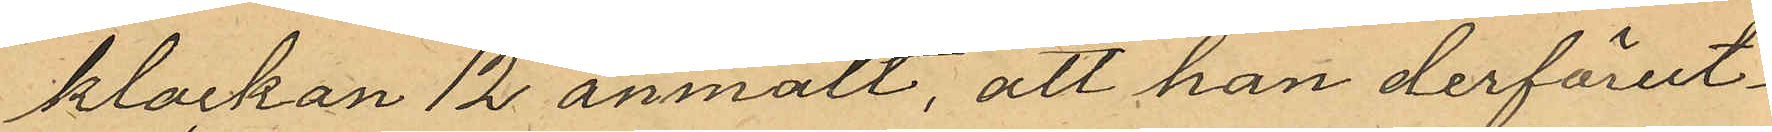klockan 12 anmält, att han derförut¬
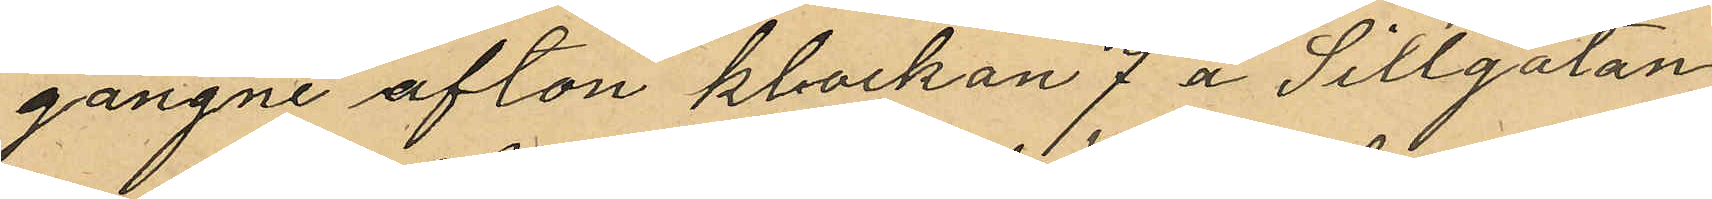gångne afton klockan 7 å Sillgatan
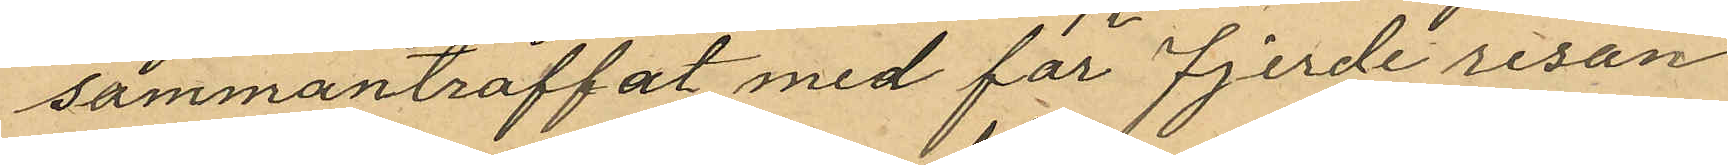sammanträffat med för fjerde resan
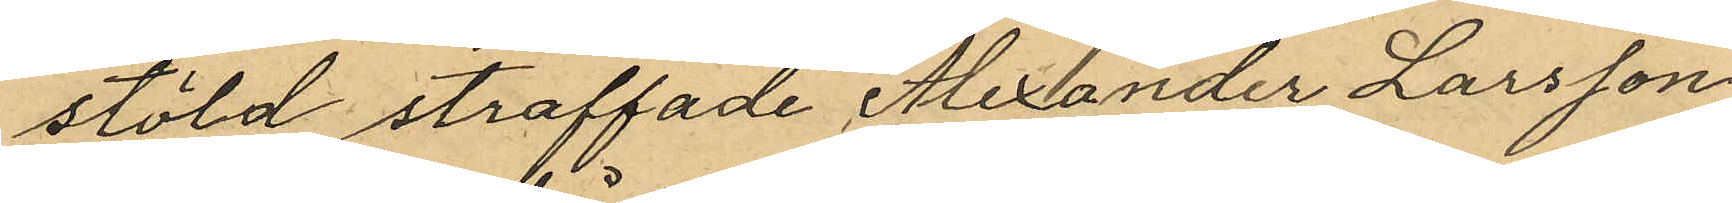stöld straffade Alexander Larsson,
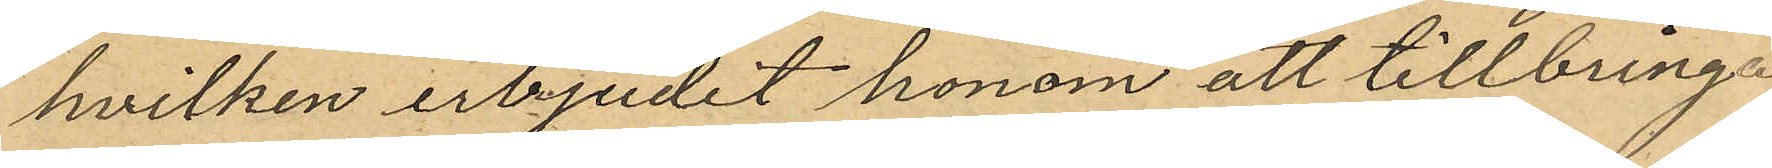hvilken erbjudit honom att tillbringa
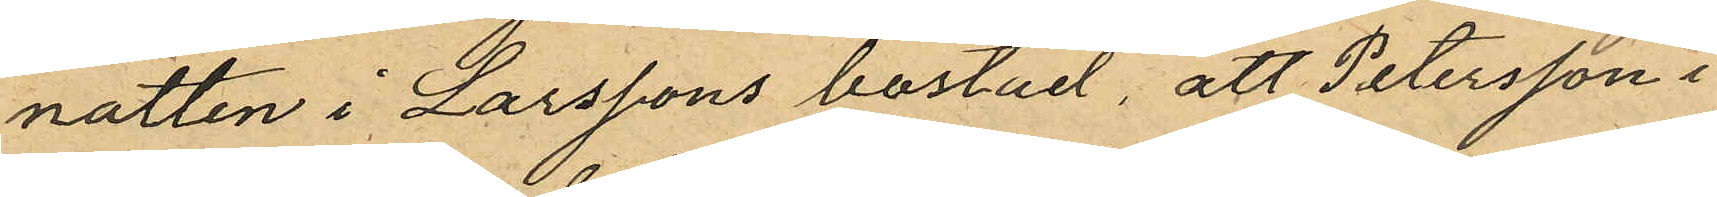natten i Larssons bostad, att Petersson i
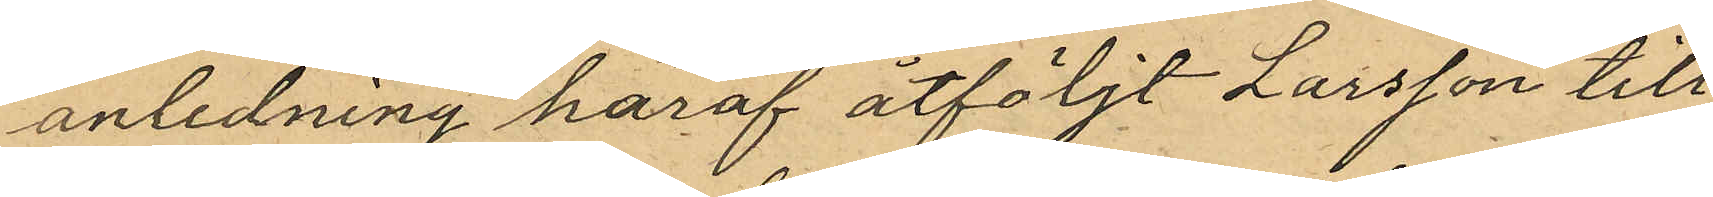anledning häraf åtföljt Larsson till
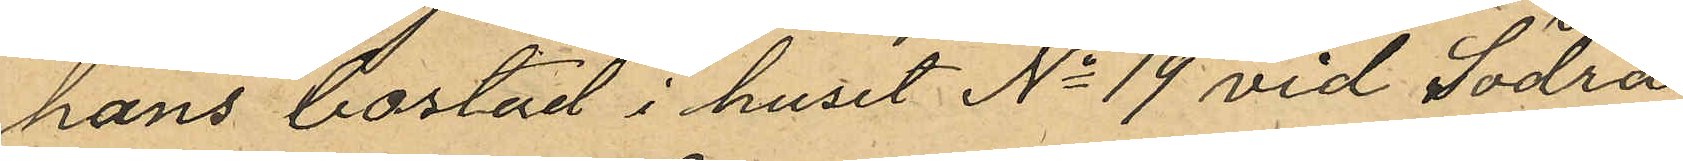hans bostad i huset No 19 vid Södra
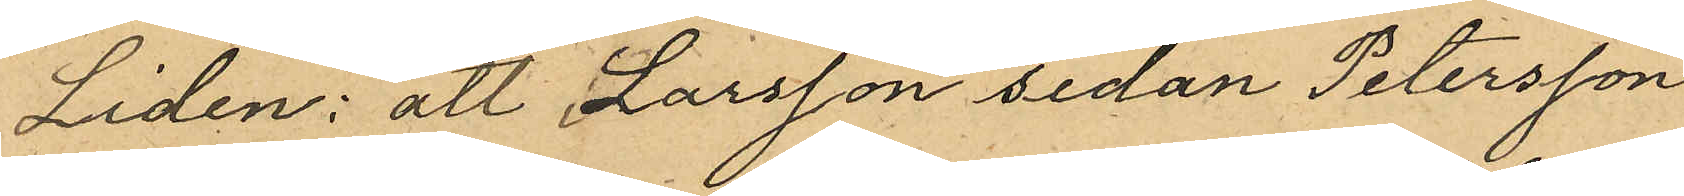Liden: att Larsson sedan Petersson
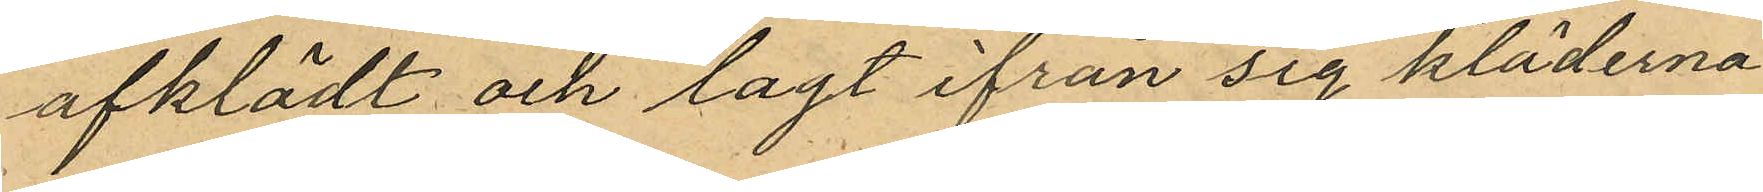afklädt och lagt ifrån sig kläderna
